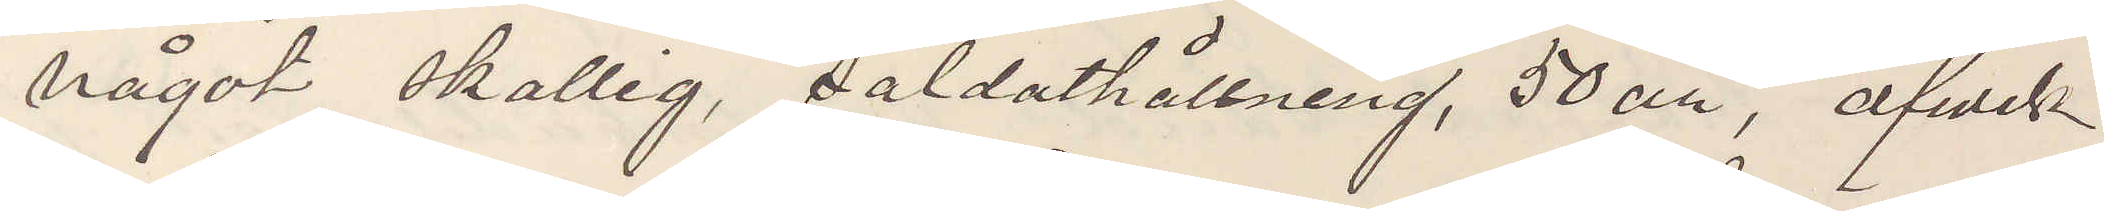något skallig, soldathållning, 50 år, afrest
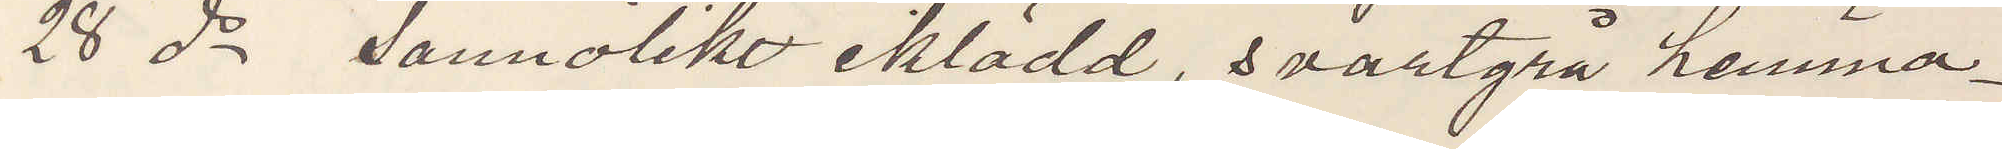28 ds sannolikt iklädd, i svartgrå hemma¬
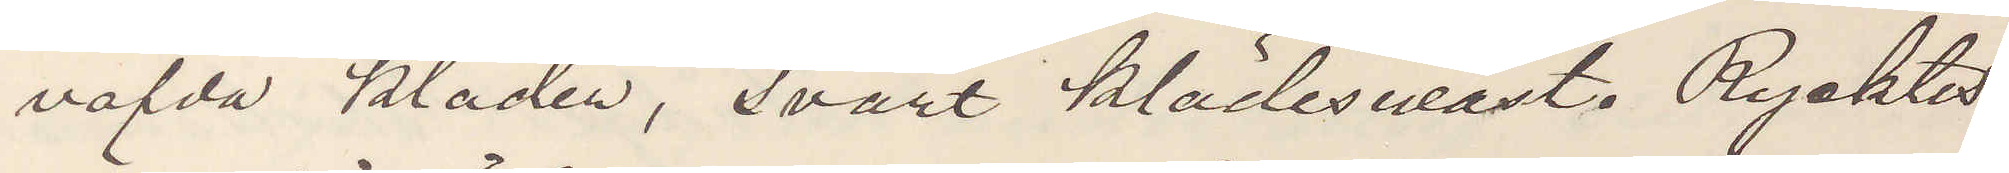väfda kläder, svart klädesväst. Rycktes¬
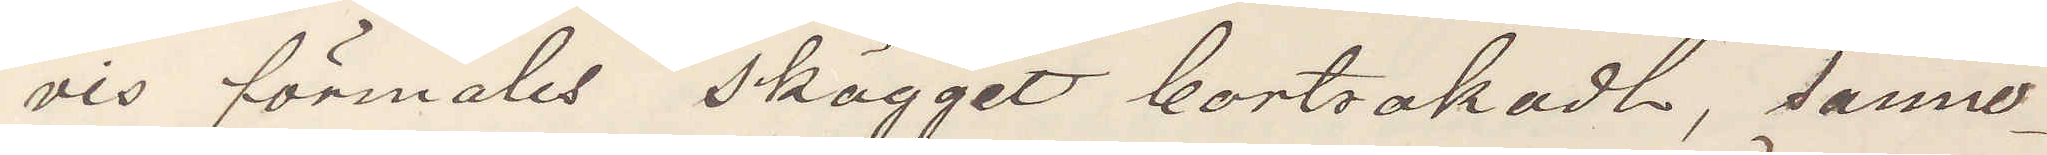vis förmäles skägget bortrakadt, sanno¬
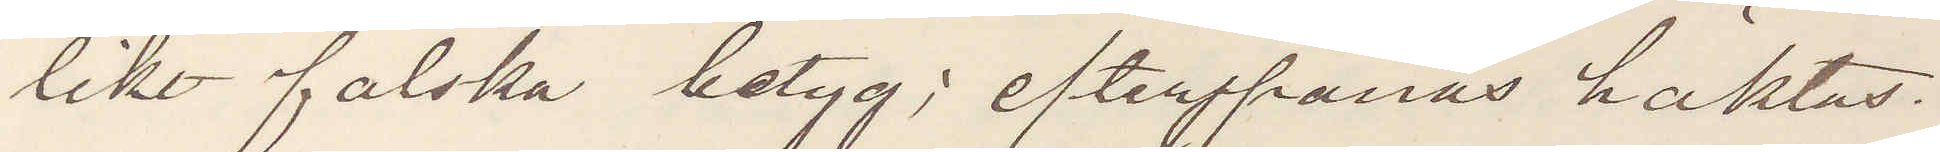likt falska betyg; efterspanas häktas.
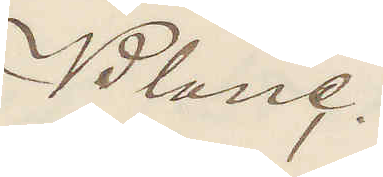Blanc.
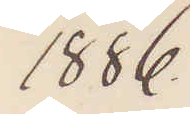1886
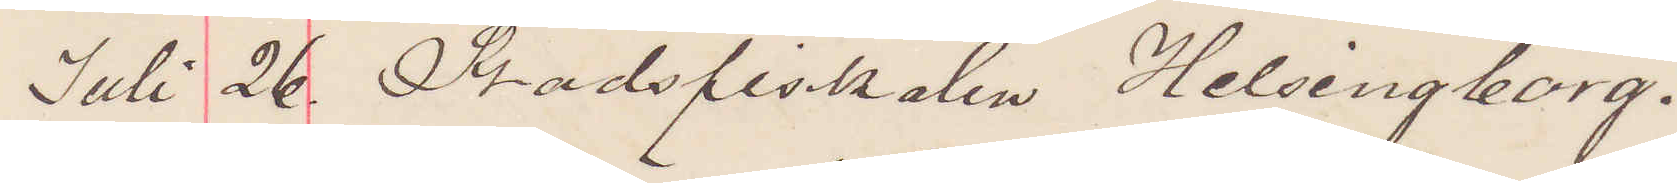Juli 26. Stadsfiskalen, Helsingborg.
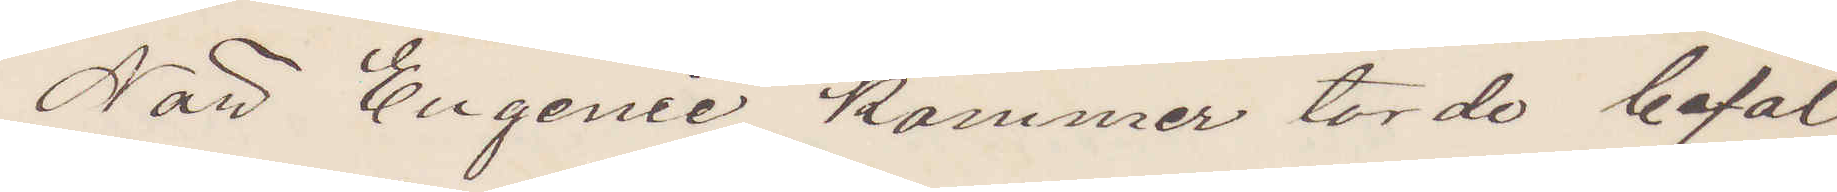När Engenie kommer torde befäl¬
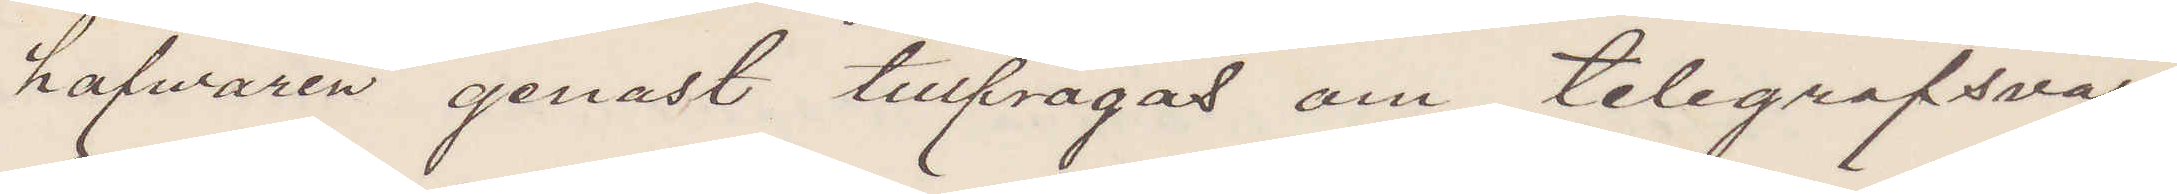hafwaren genast tillfrågas om telegrafsvar
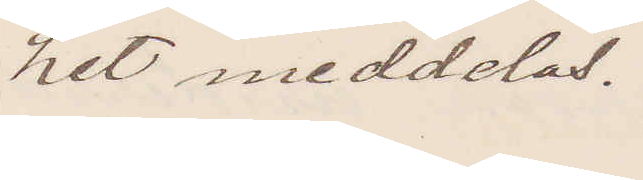hit meddelas.
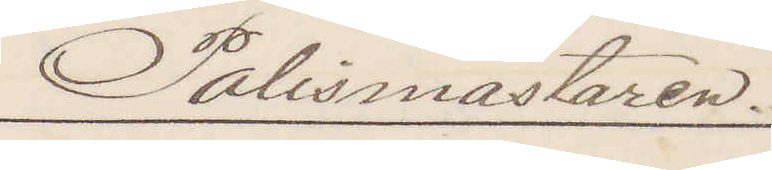Polismästaren.
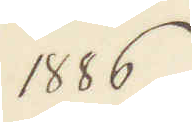1886
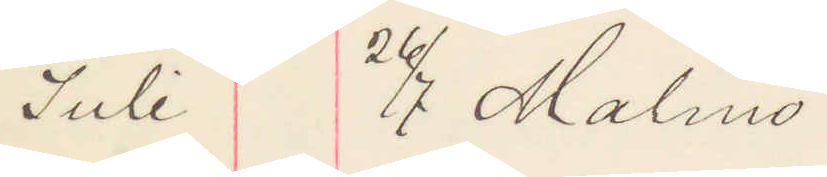Juli 26/7 Malmö
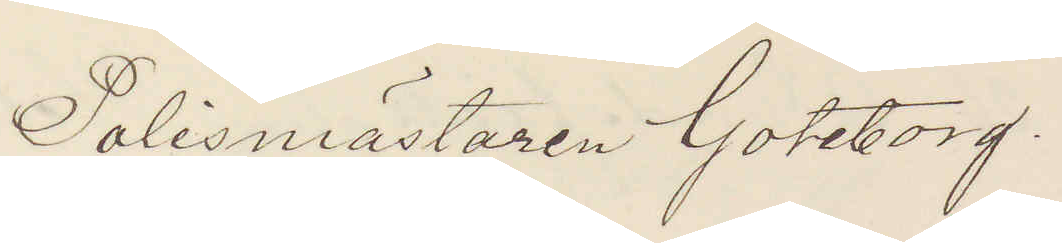Polismästaren Göteborg.
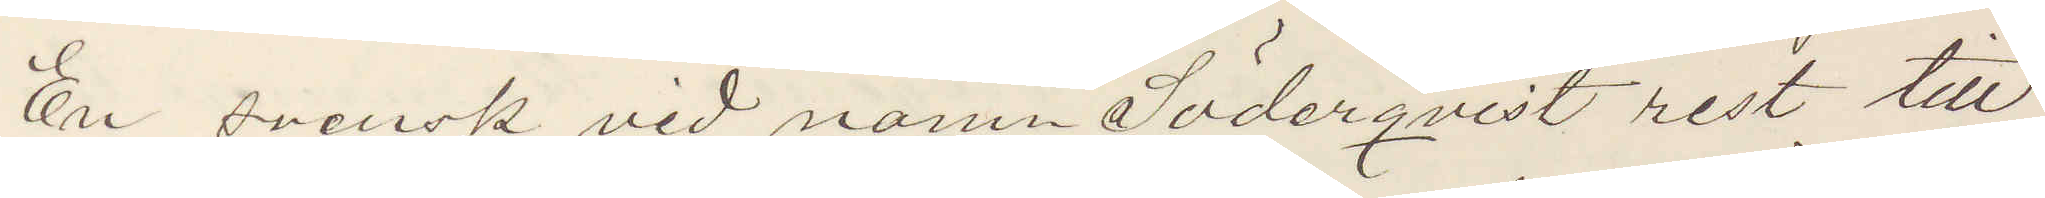En svensk vid namn Söderqvist rest till
